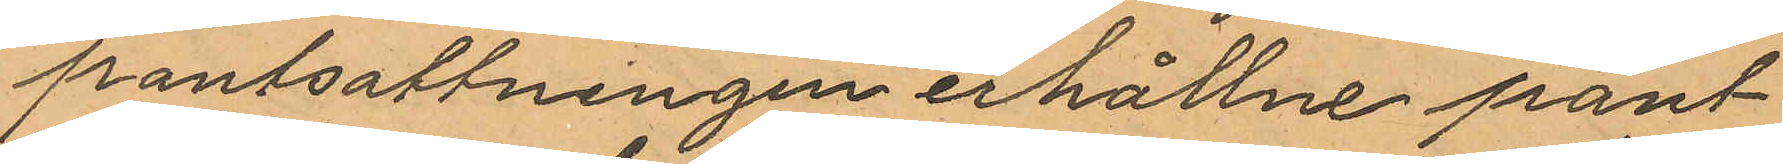pantsättningen erhållne pant¬
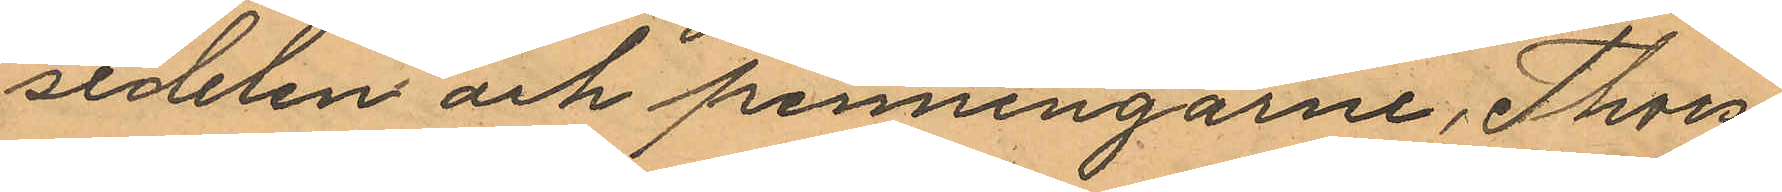sedelen och penningarne, Thors¬
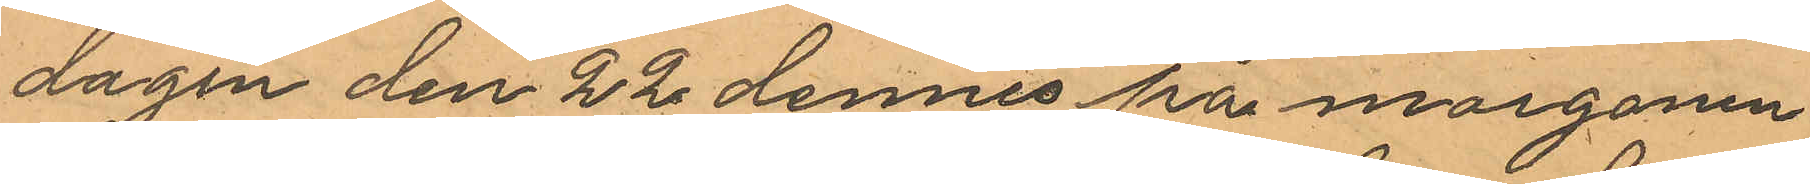dagen den 22 dennes på morgonen
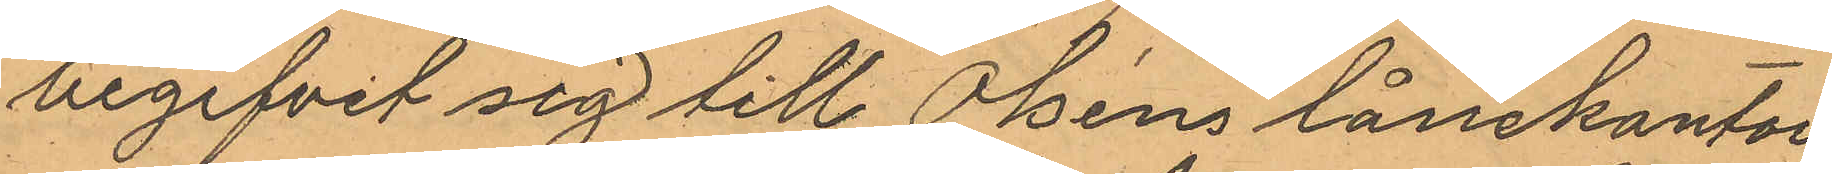begifvit sig till Olséns lånekontor
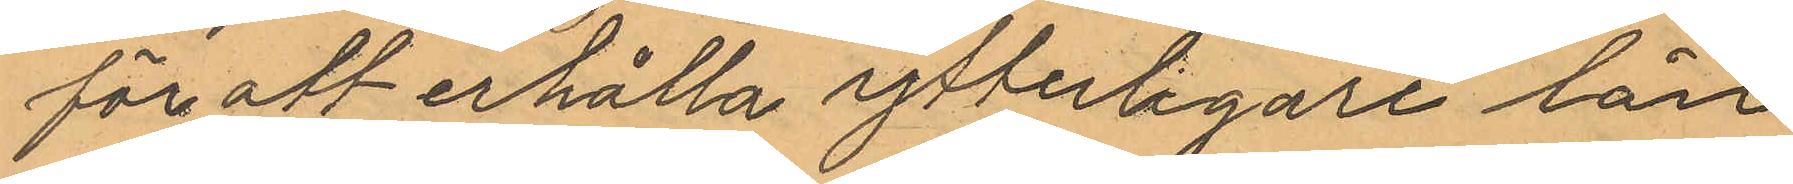för att erhålla ytterligare lån
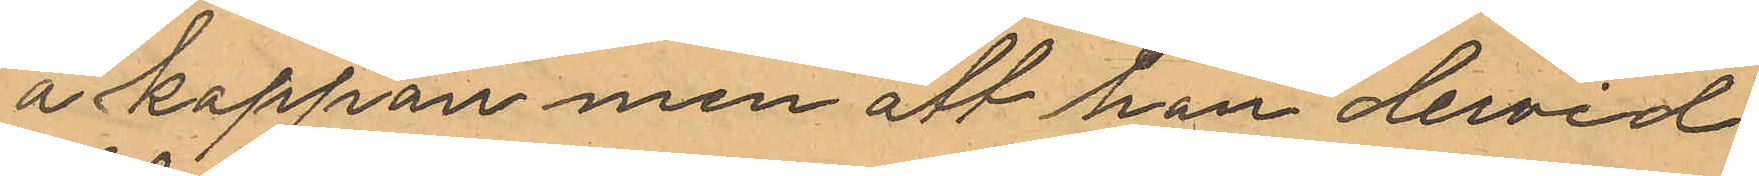å kappan men att han dervid
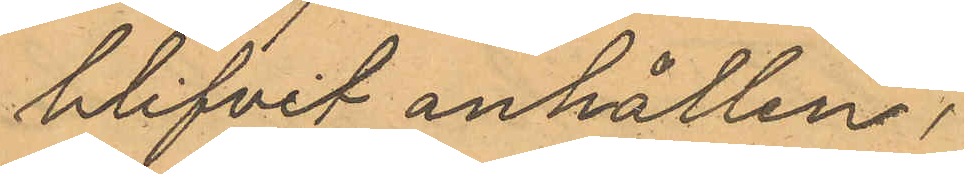blifvit anhållen.
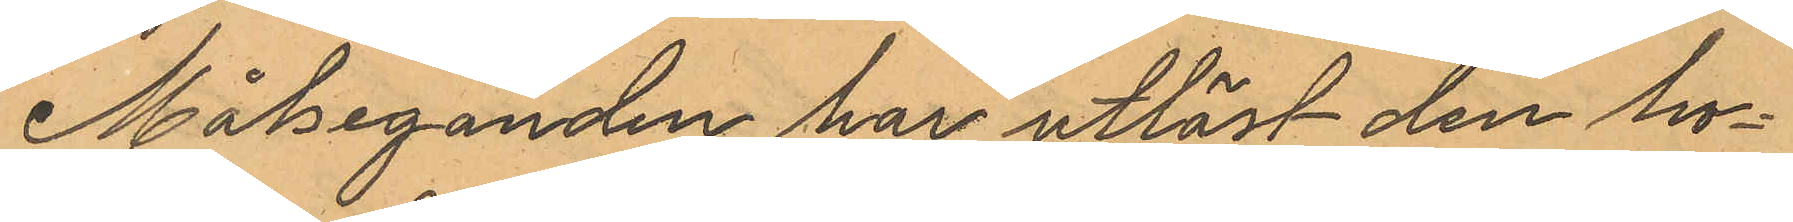Målseganden har utlöst den ho¬
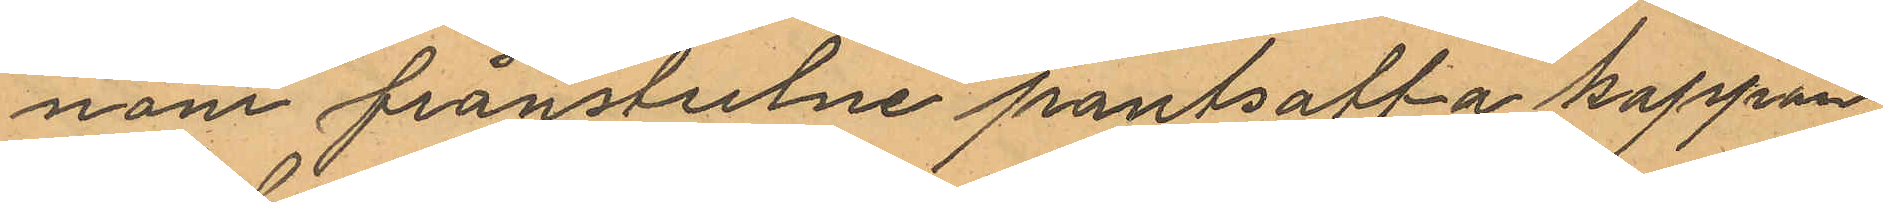nom frånstulne pantsatta kappan.
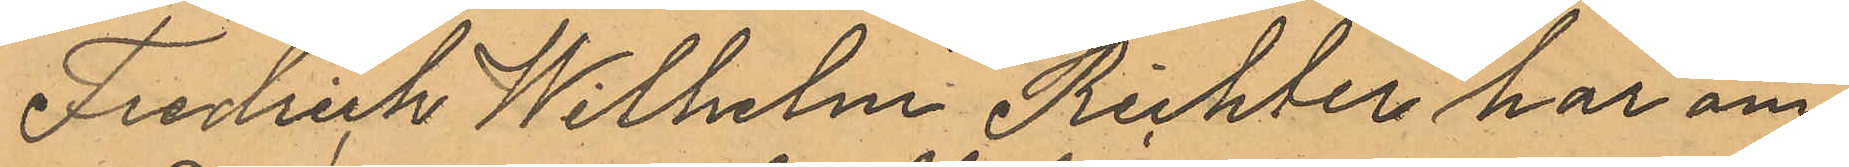Fredrich Wilhelm Richter har om
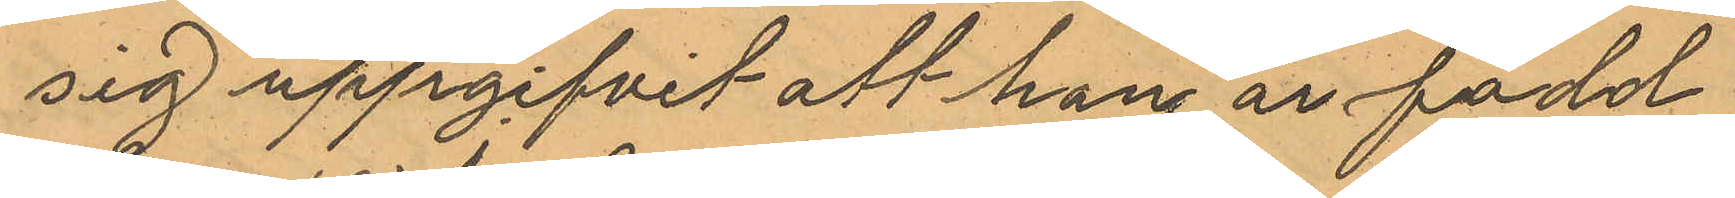sig uppgifvit att han är född
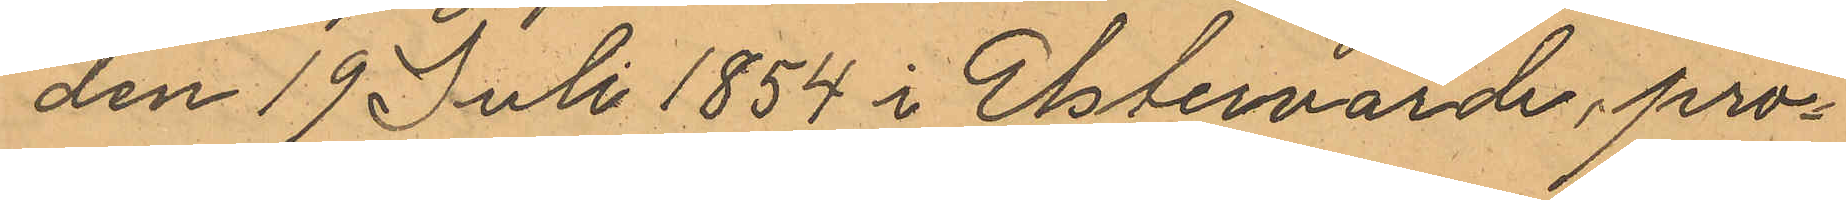den 19 Juli 1854 i Elsterwärde, pro¬
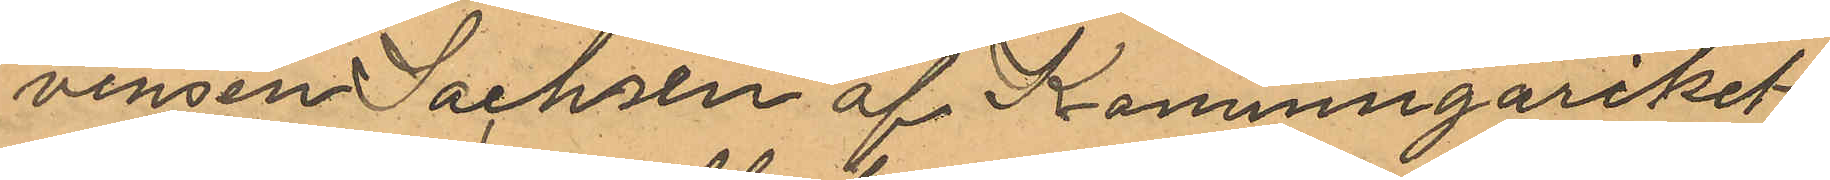vinsen Sachsen af Konungariket
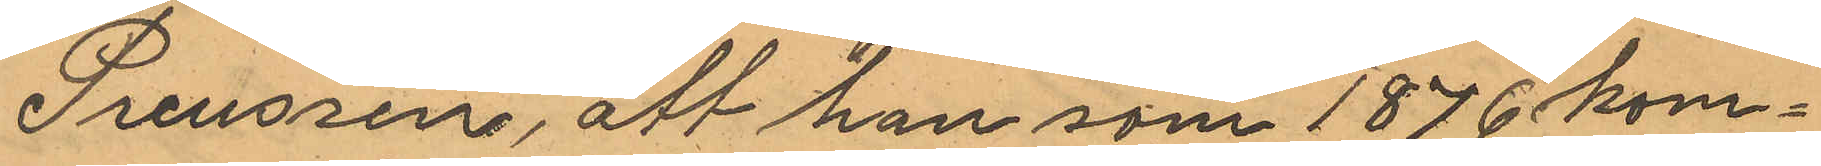Preussen, att han som 1876 kom¬
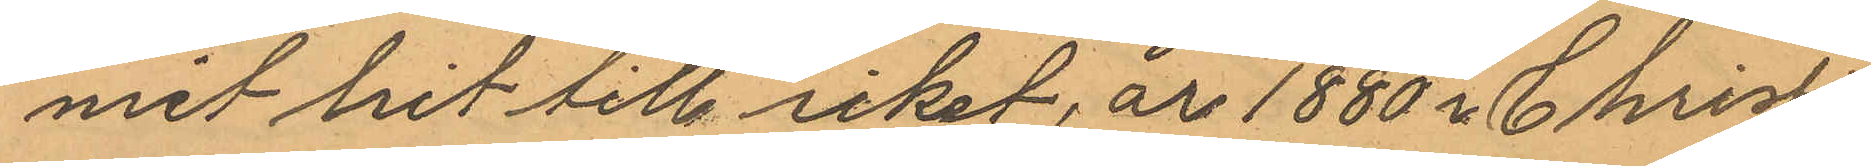mit hit till riket, år 1880 i Christi¬
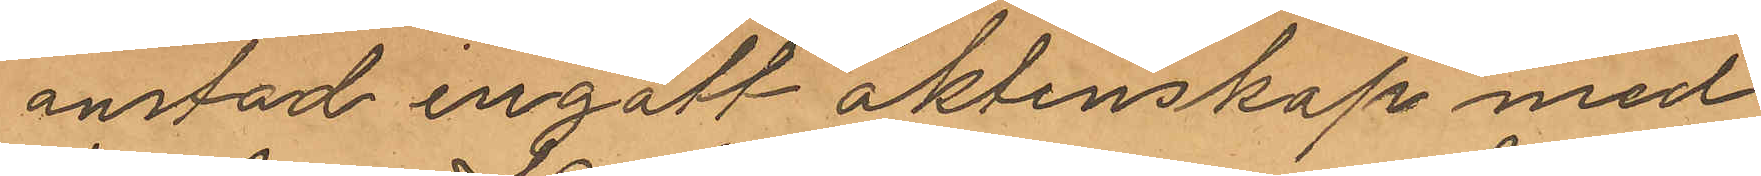anstad ingått äktenskap med
